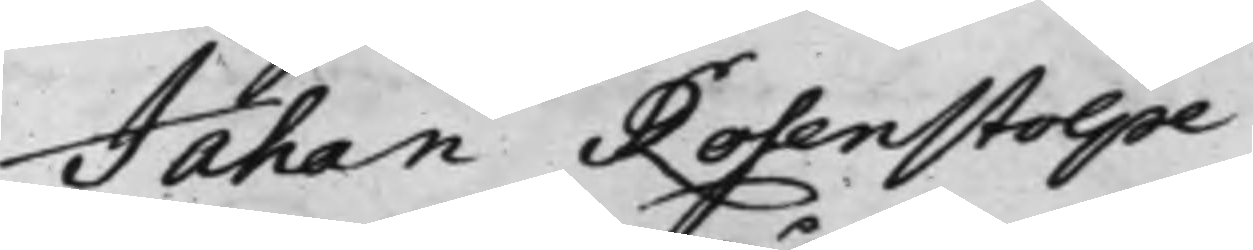Jahan Rosenstolpe
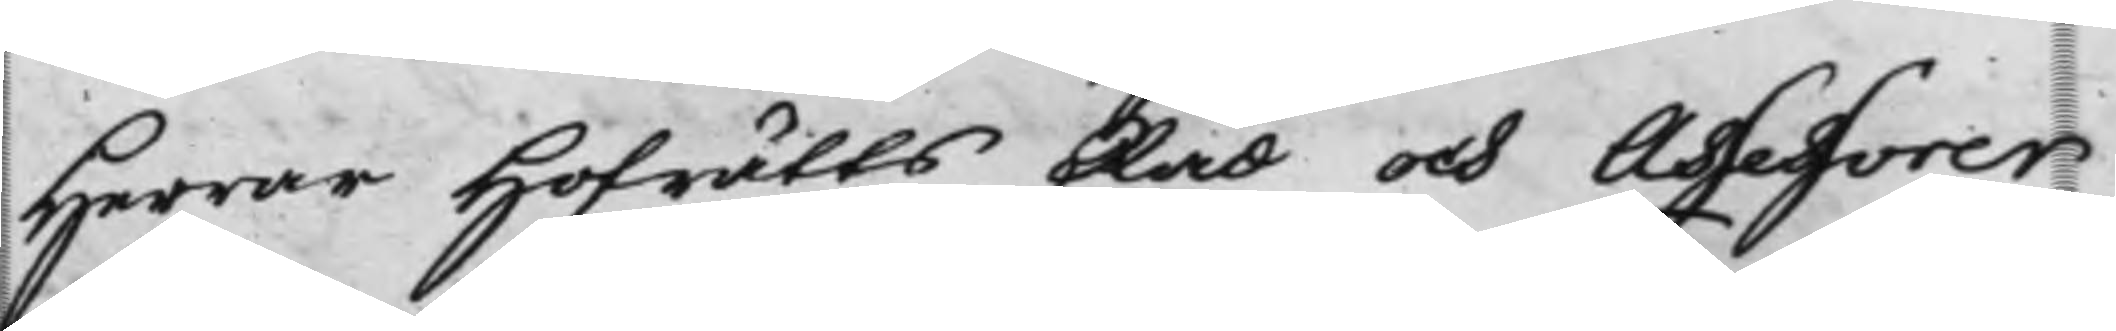Herrar Hofrätts Råd och Assessorer
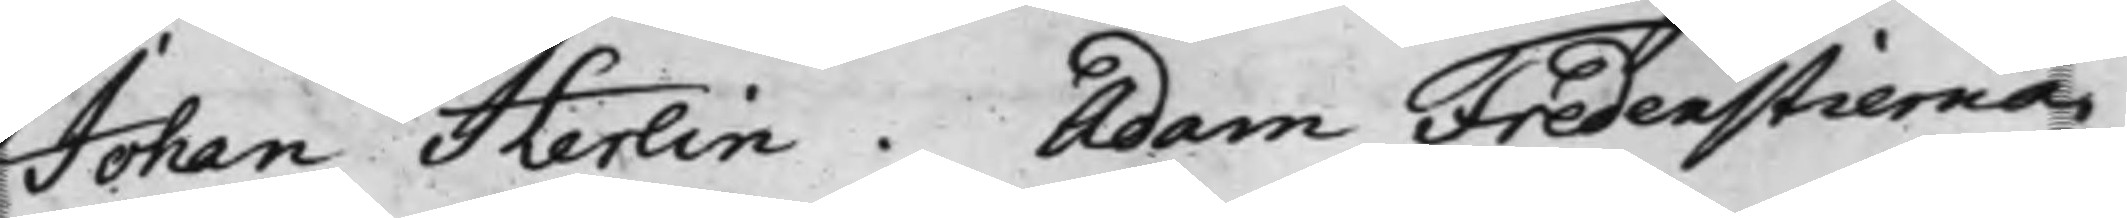Johan Herlin. Adam Fredenstierna.
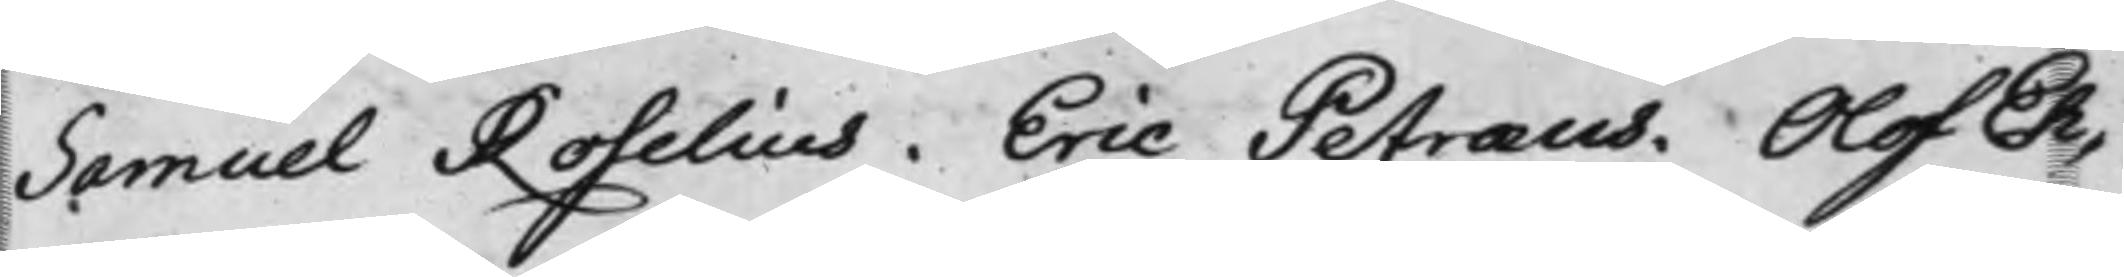Samuel Roselius. Eric Petræus. Olof Eh¬
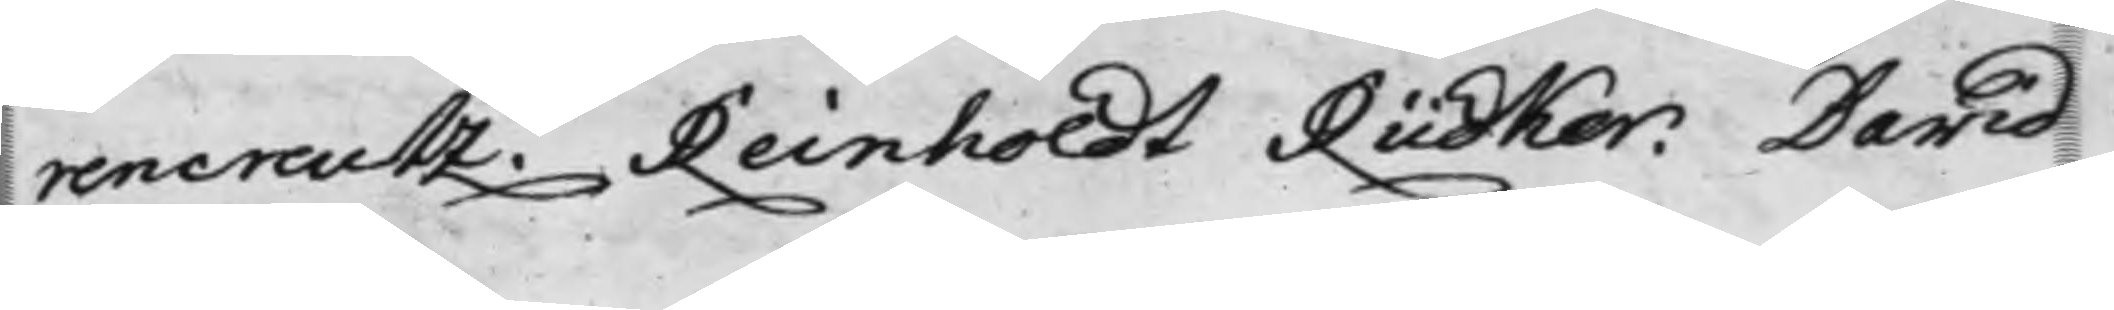rencreutz. Reinholdt Rüdker. David
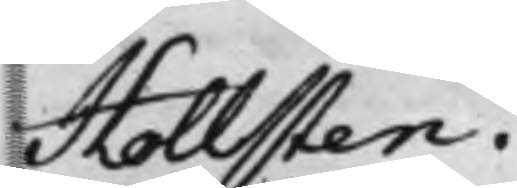Hollsten.
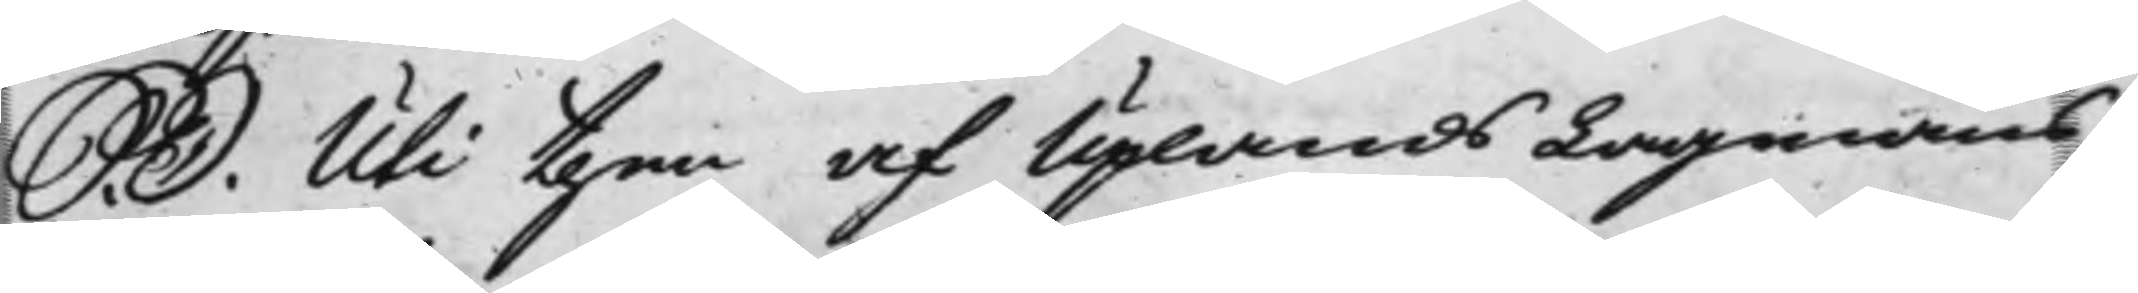S. D. Uti then af Uplands Lagmans¬
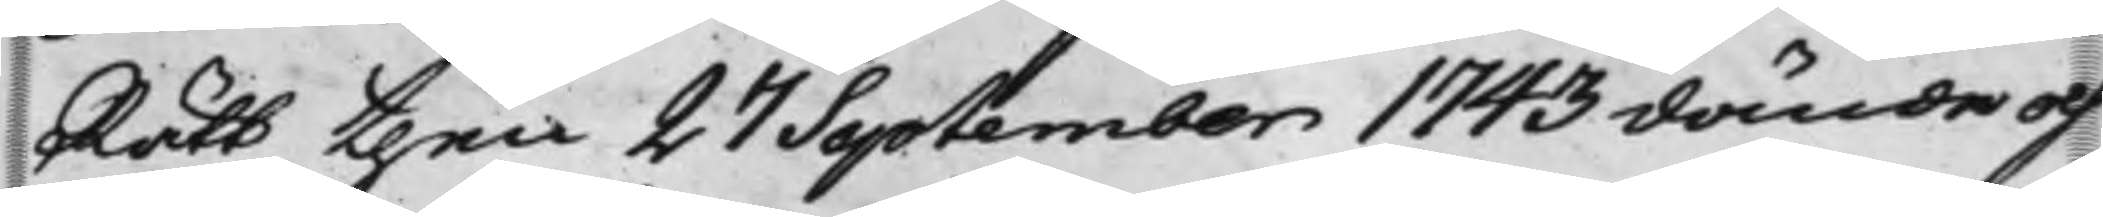Rätt then 27 September 1743 dömde och
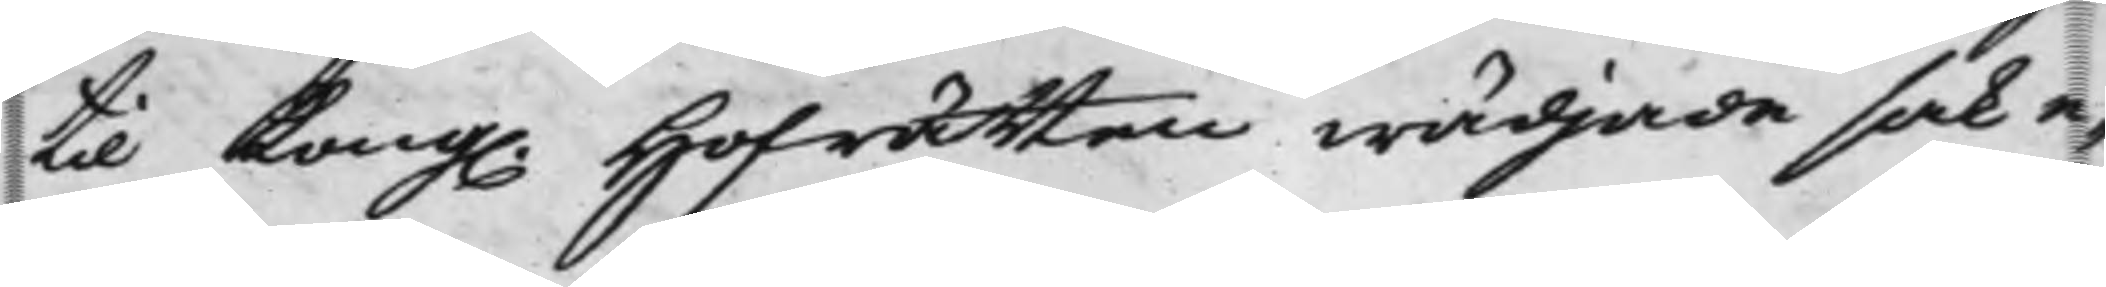til Kong. Hofrätten wädjade sak e¬
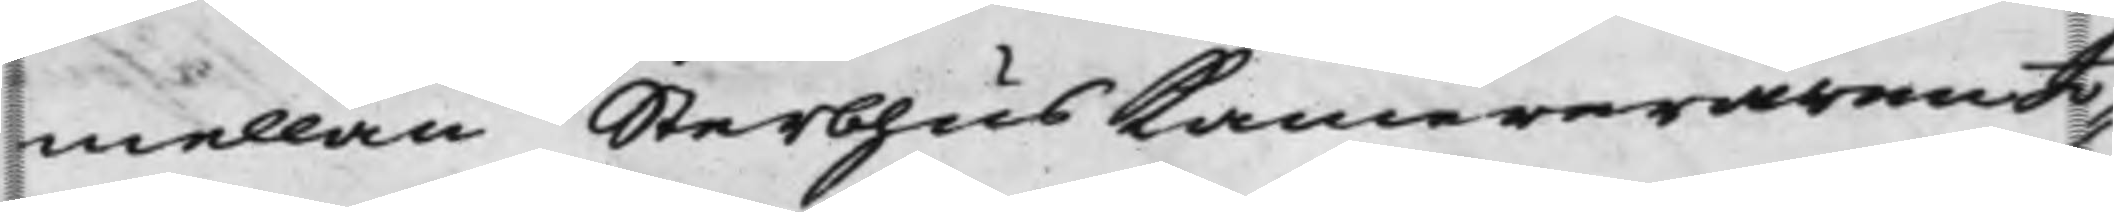mellan SterbhusKammereraren Jo¬
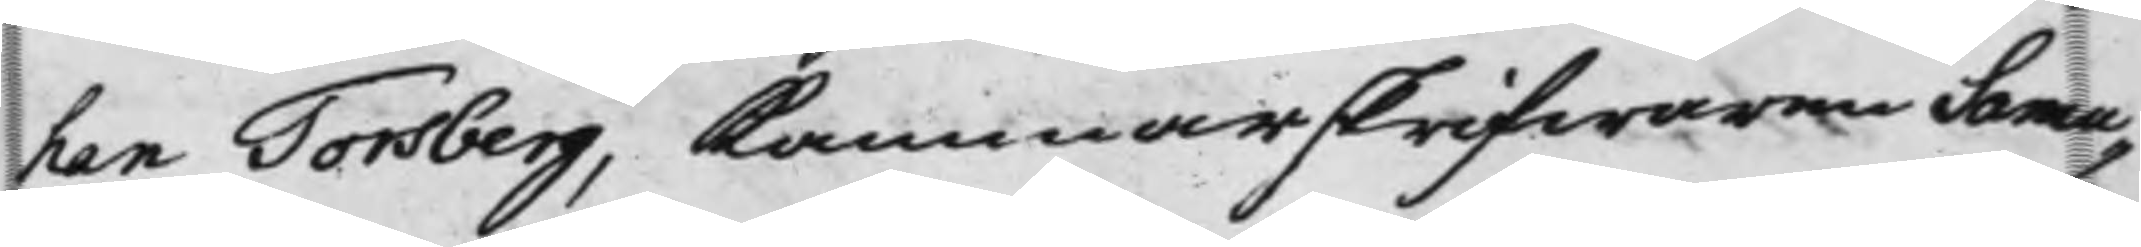han Torsberg, Kammarskrifwaren Samu¬
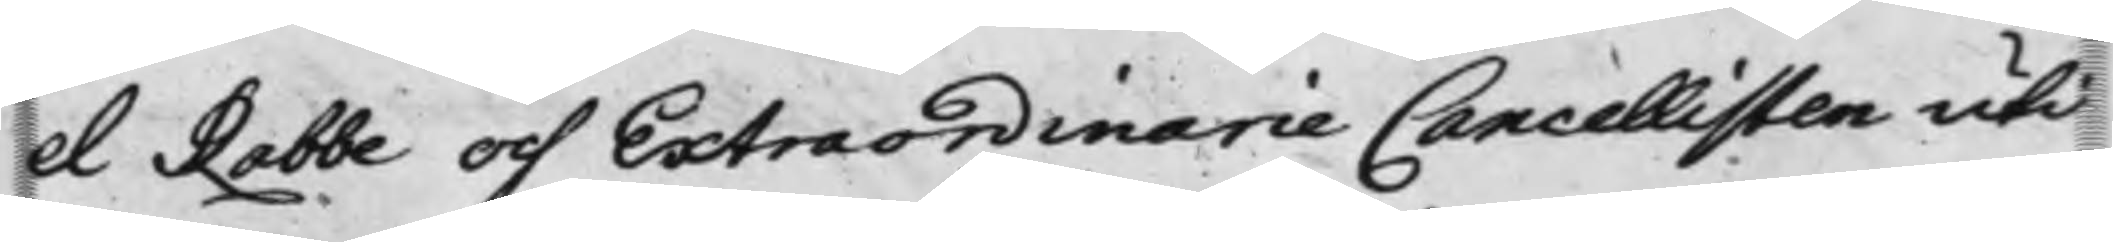el Rabbe och Extraordinarie Cancellisten uti
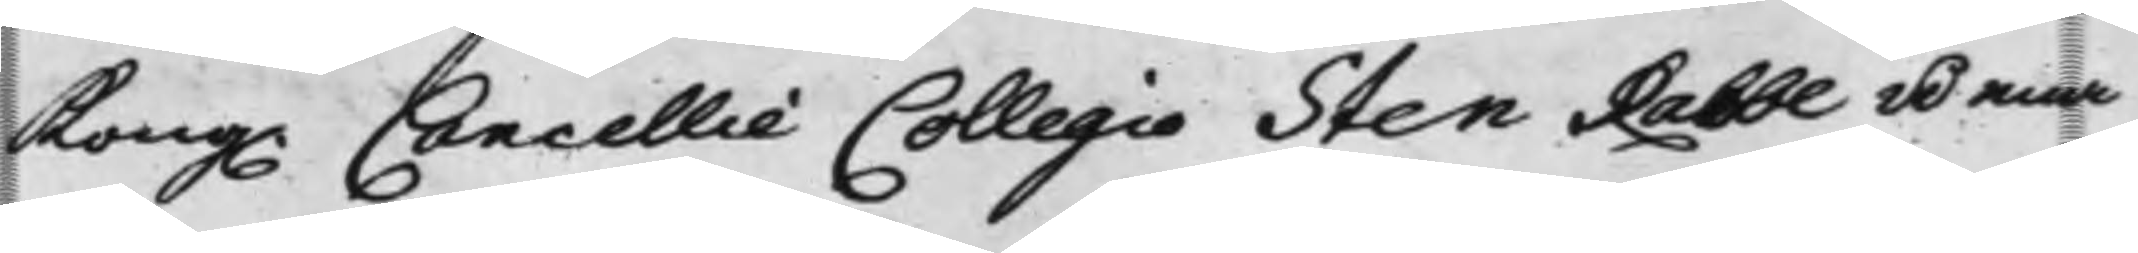Kong. Cancellie Collegio Sten Rabbe å ena
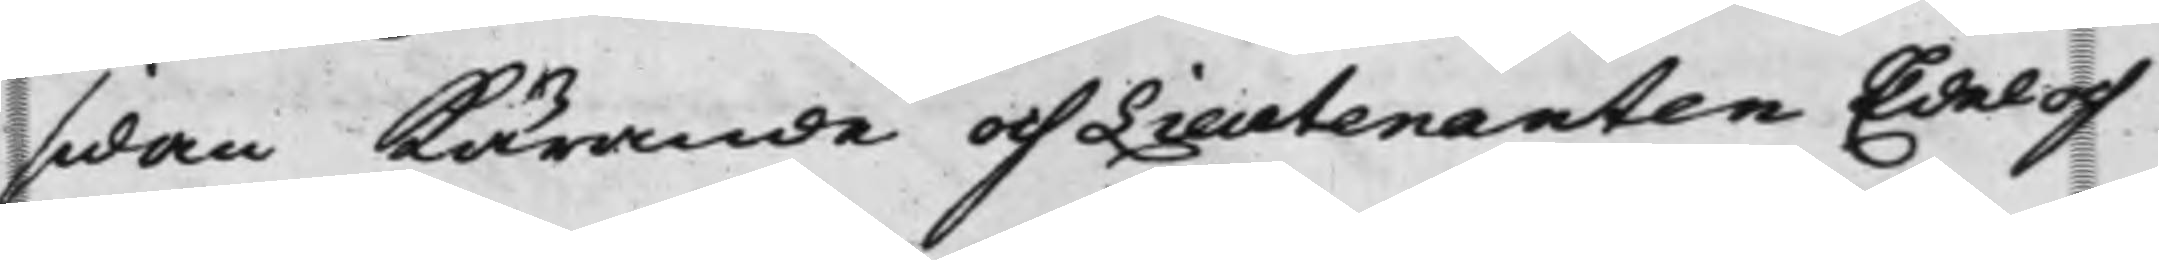sidan Kärande och Lieutenanten Edel och
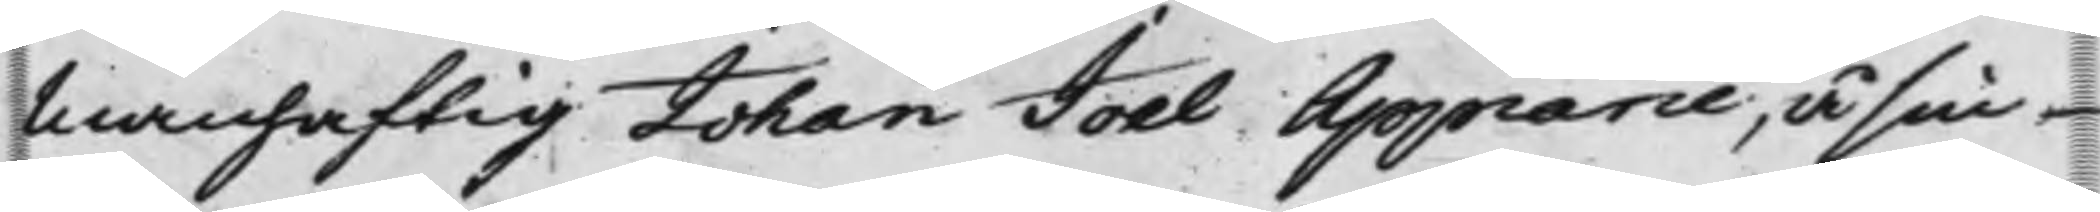Manhaftig Johan Joel Appiarie, å sin
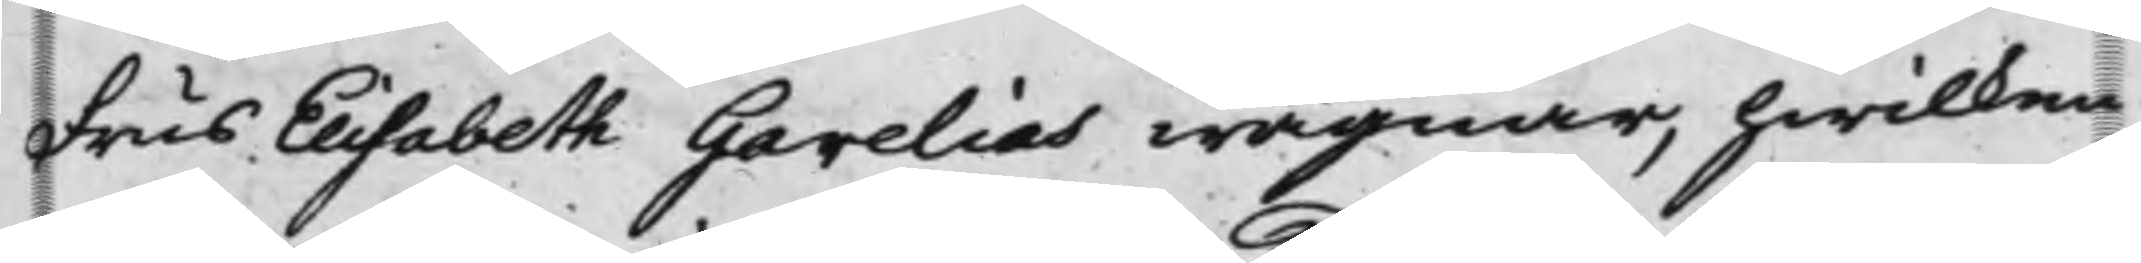Frus Elisabeth Gerelias wägnar. hwilken
